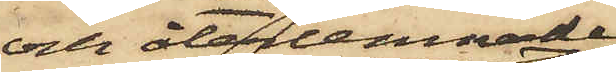och återlemnade
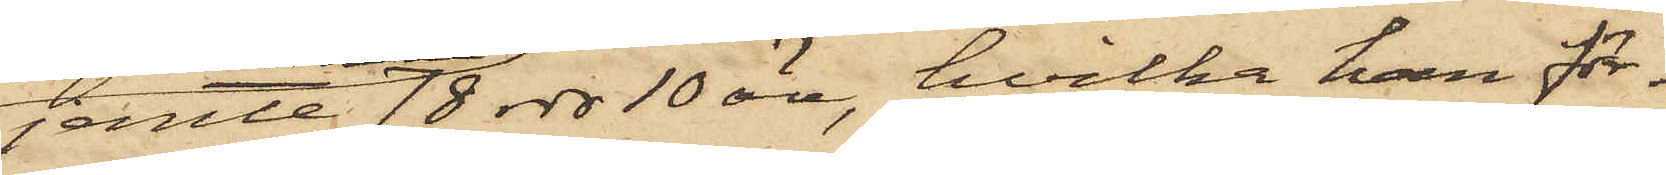jemte 78 rdr 10 öre, hvilka han för¬
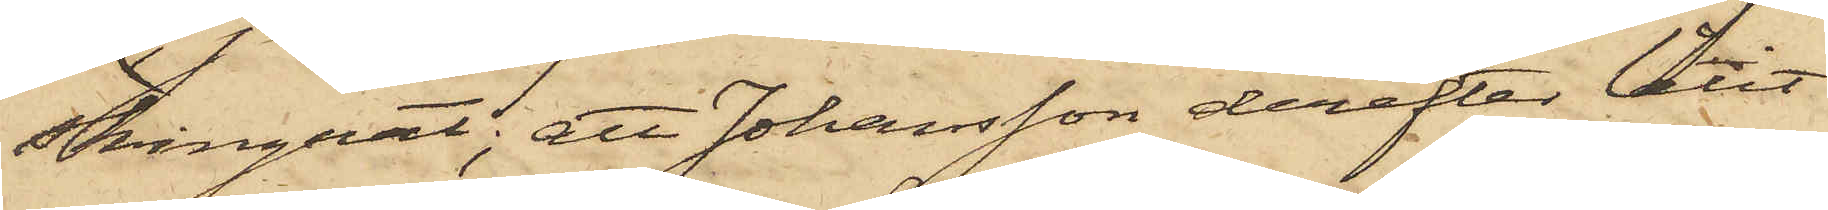skingrat; att Johansson derefter låtit
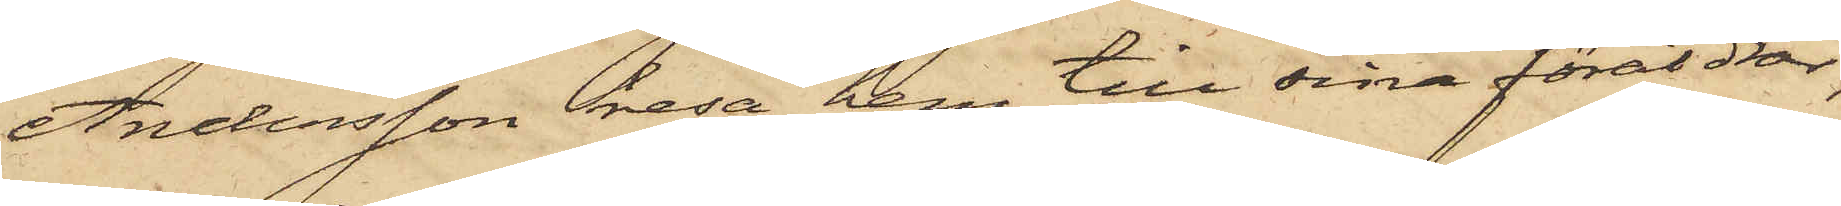Andersson resa hem till sina föräldrar,
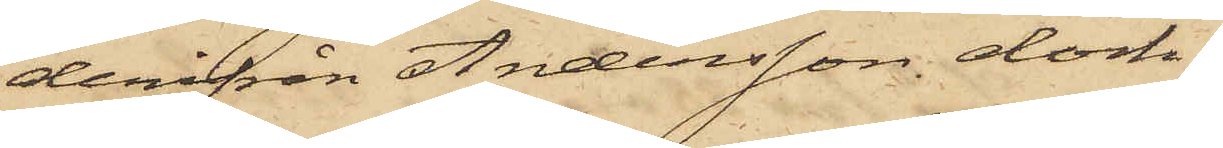derifrån Andersson dock
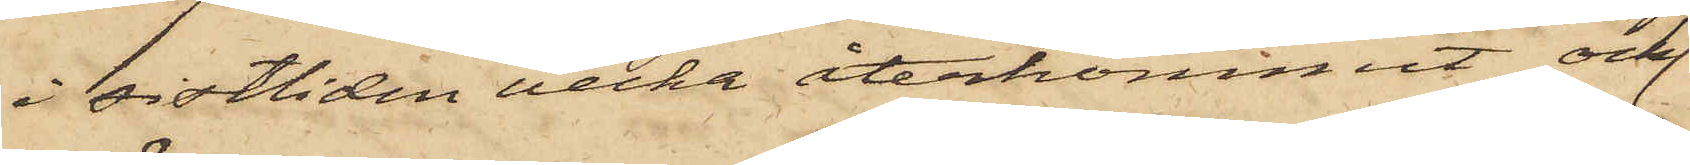i sistliden vecka återkommit och
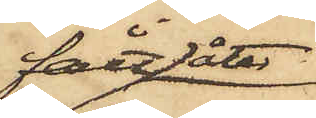fått åter
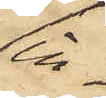in¬
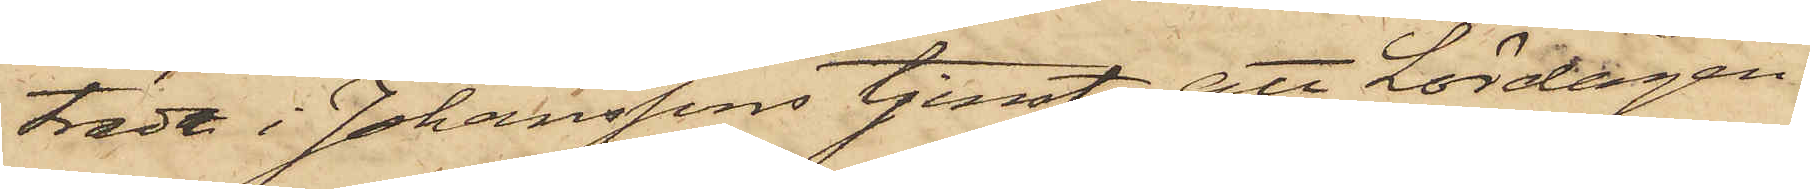träde i Johanssons tjenst; att Lördagen
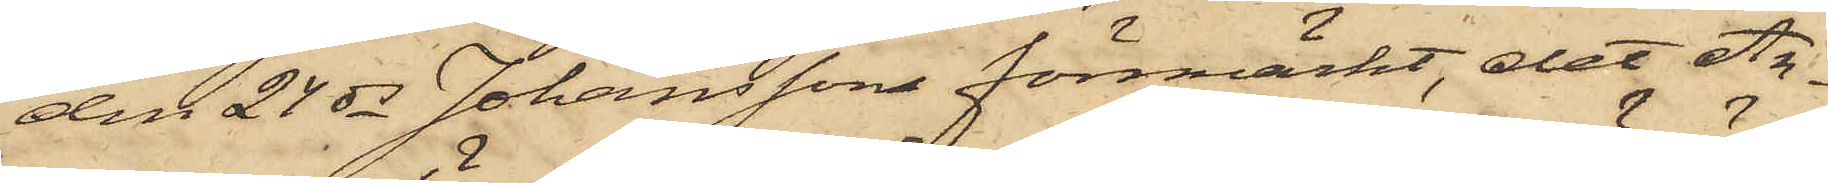den 24 ds Johanssons förmärkt, det An¬
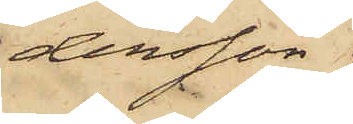dersson
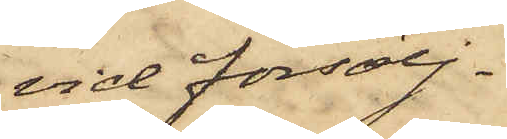vid försälj¬
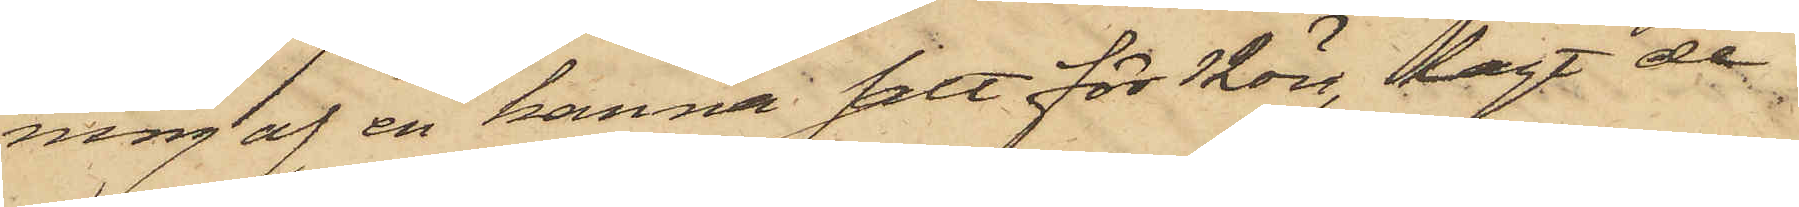ning af en kanna salt för 12 öre, lagt de
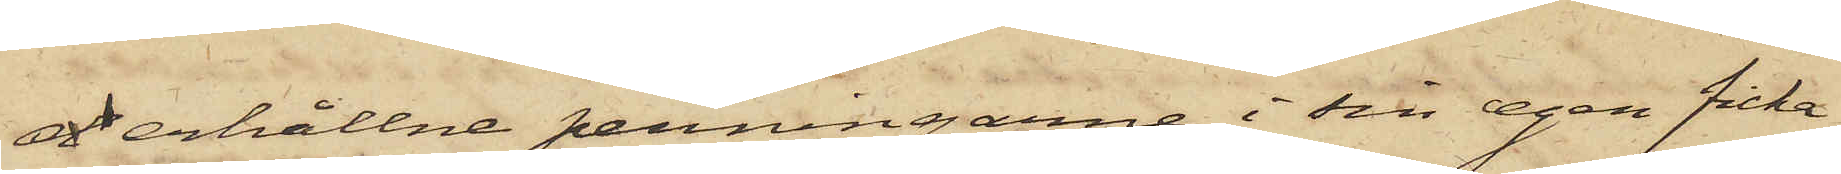d erhållne penningarne i sin egen ficka
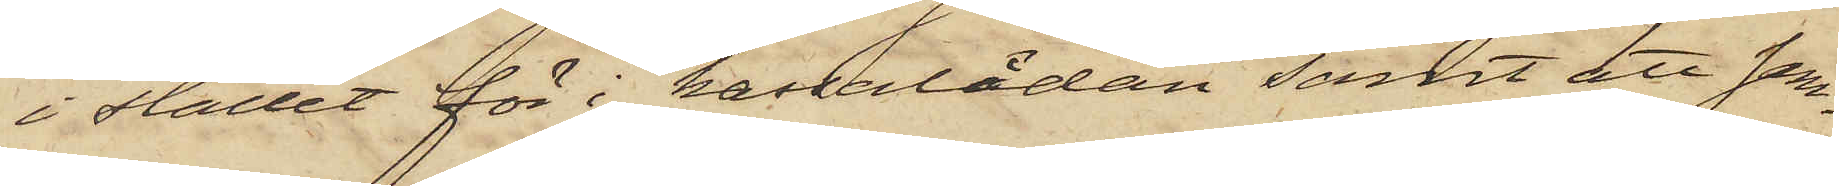i stället för i kassalådan samt att sam¬
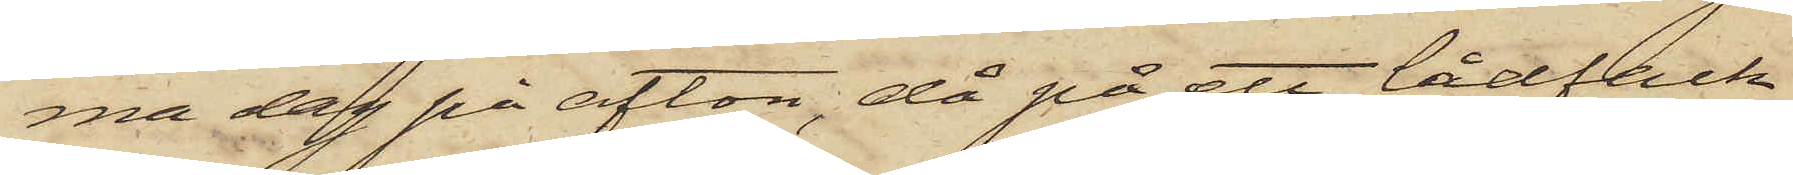ma dag på afton, då på ett lådfack
